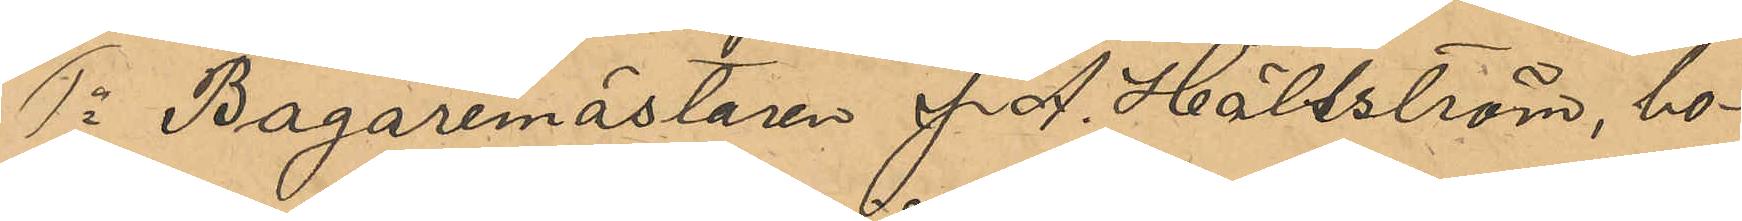1o Bagaremästaren J. A. Hällström, bo¬
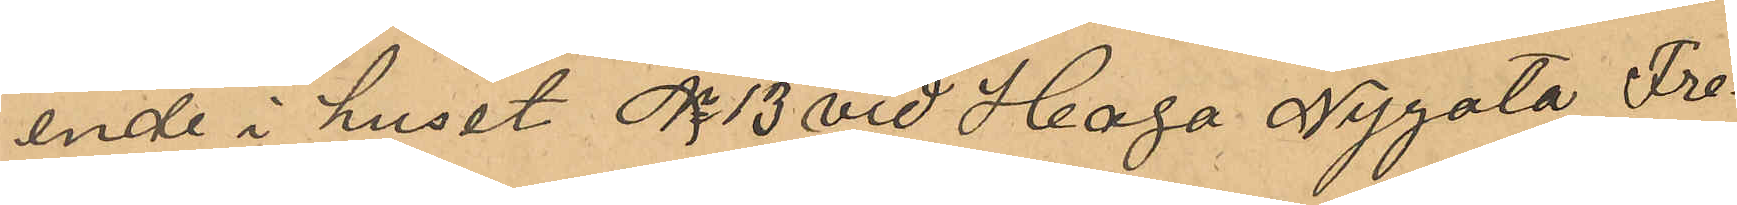ende i huset No 13 vid Haga Nygata Fre¬
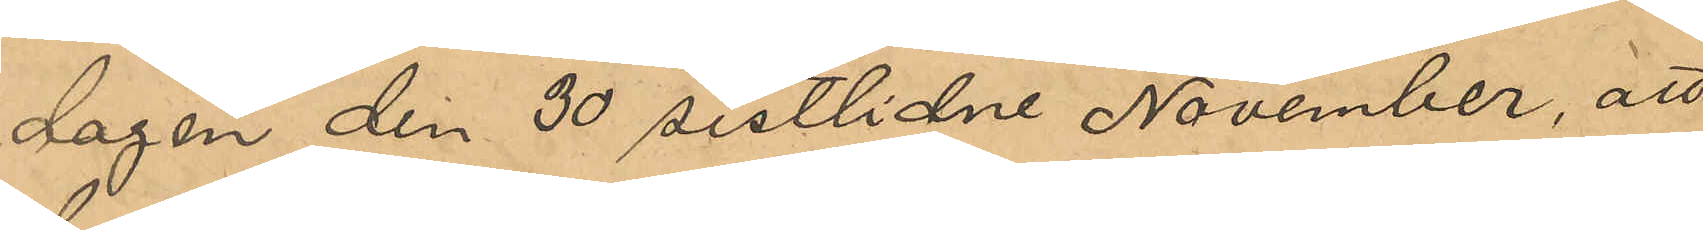dagen den 30 sistlidne November, att
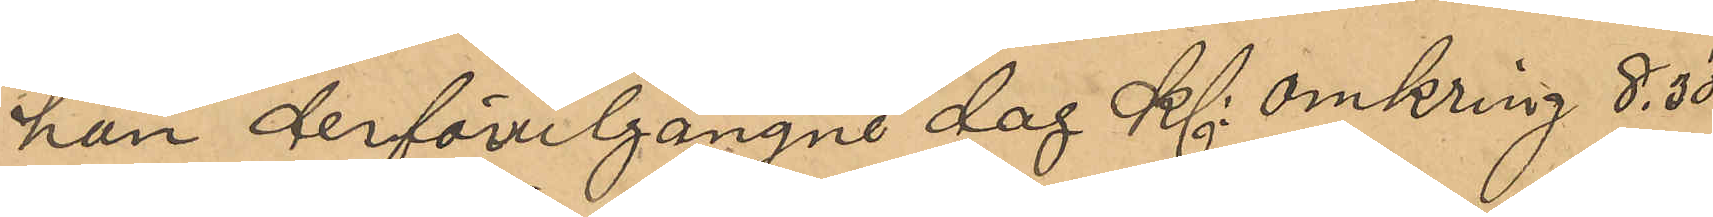han derförutgångne dag Kl omkring 8,30
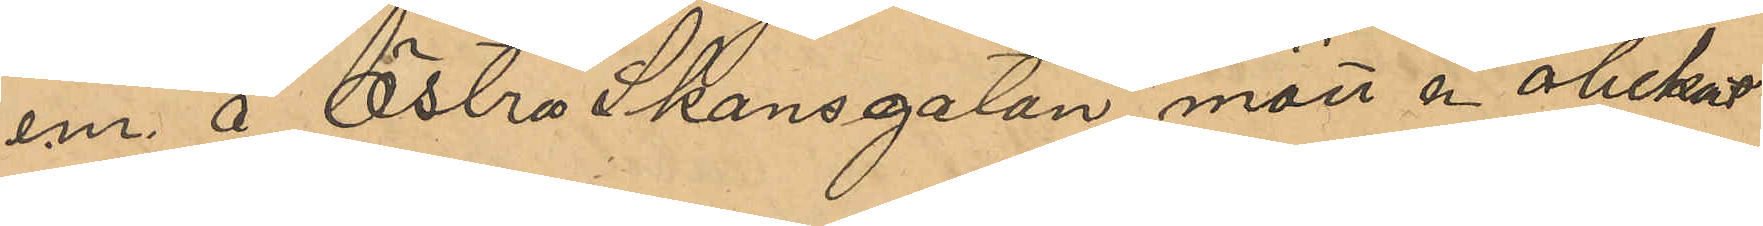em. å Östra Skansgatan mött en obekant
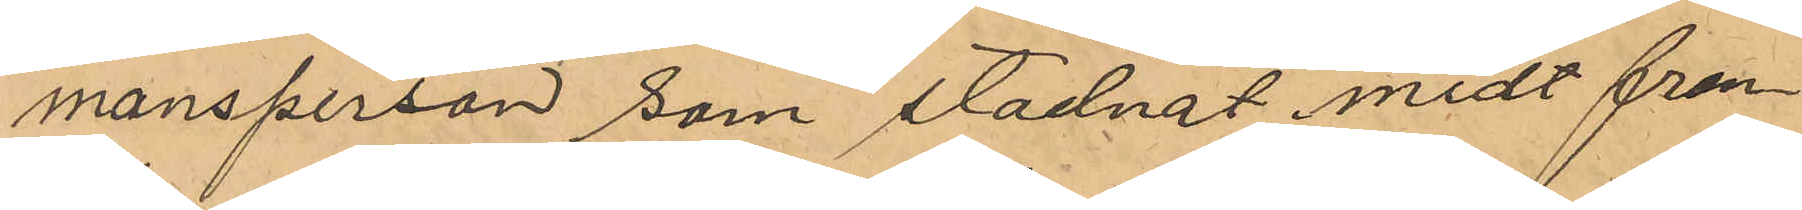mansperson som stadnat midt fram¬
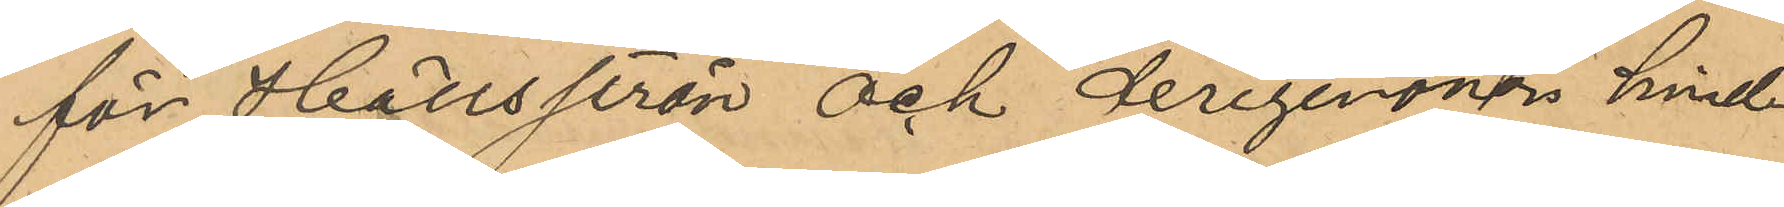för Hällström och derigenom hind¬
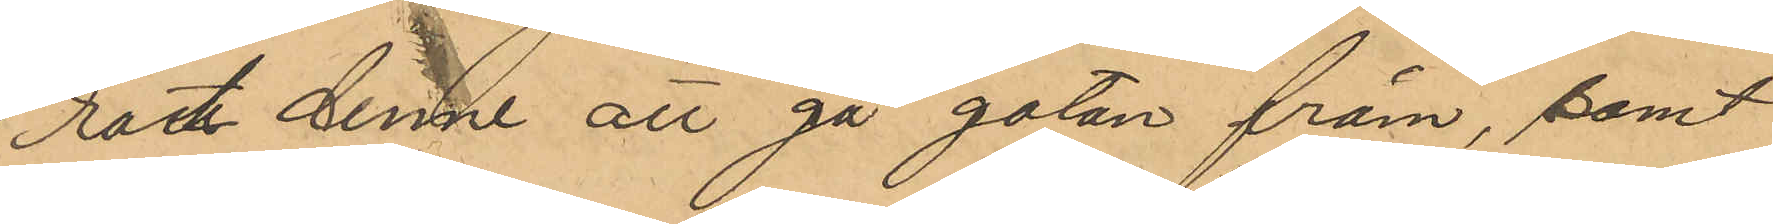rat denne att gå gatan fram, samt
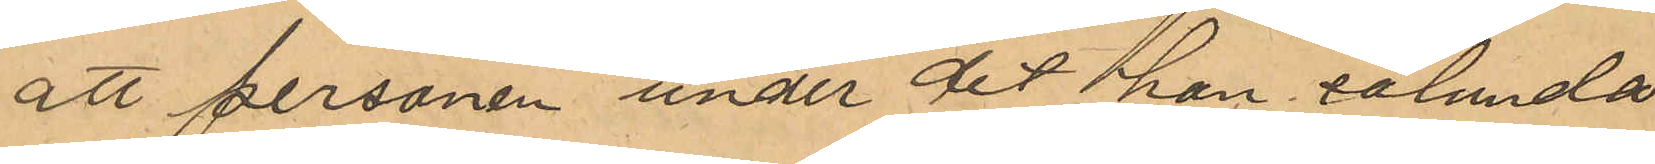att personen under det han sålunda
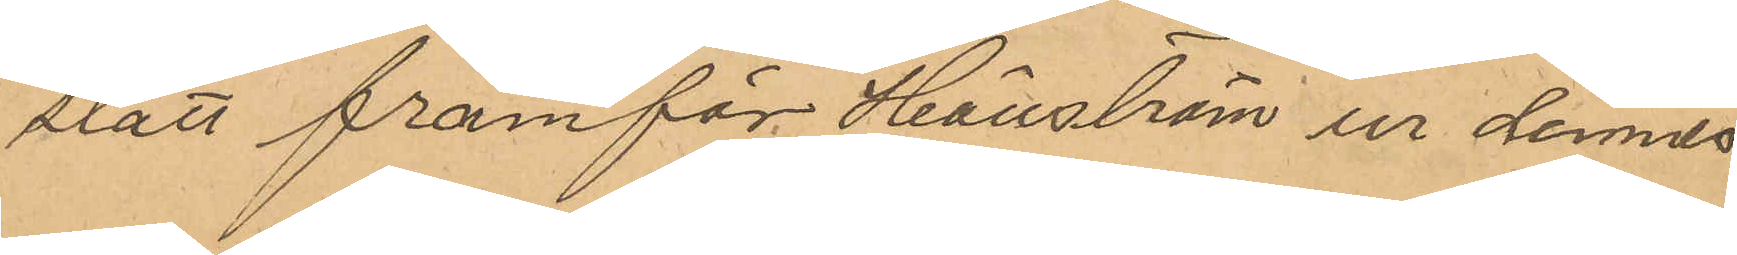stått framför Hällström ur dennes
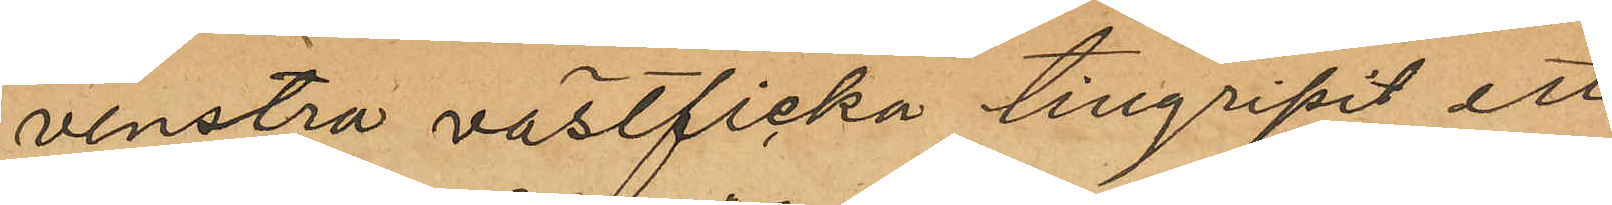venstra rockficka tillgripit ett
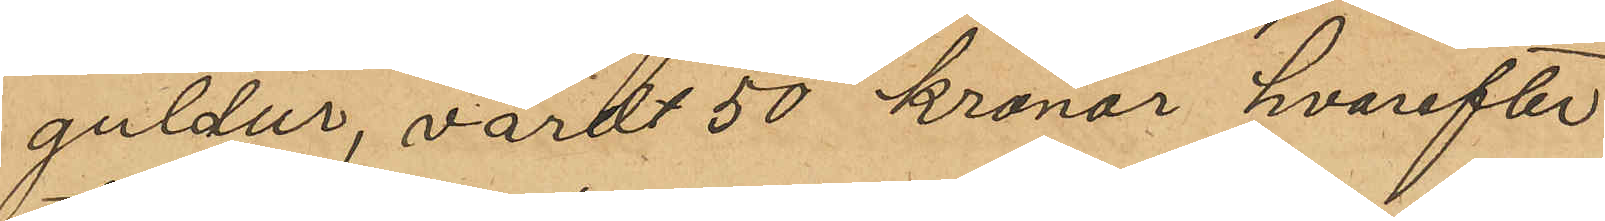guldur, värdt 50 Kronor hvarefter
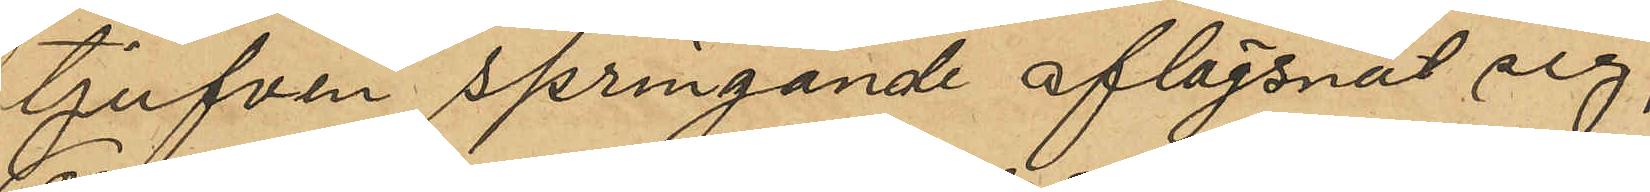tjufven springande aflägsnat sig;
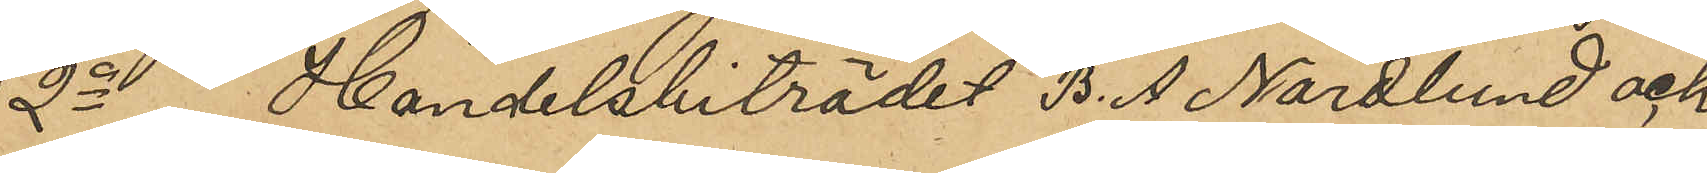2o Handelsbiträdet B. A. Nordlund och
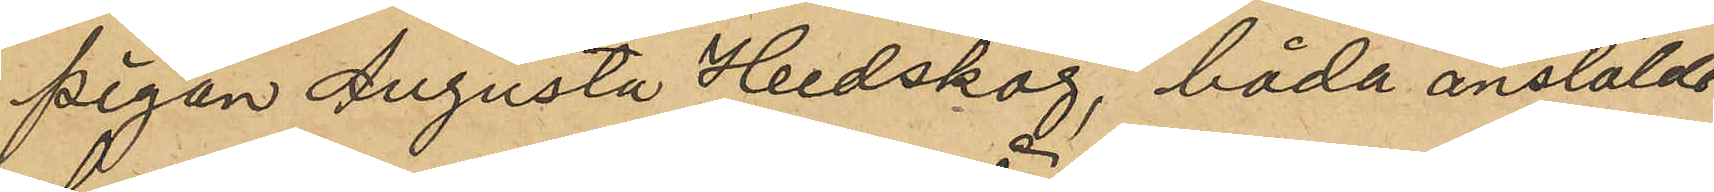pigan Augusta Hedskog, båda anstälde
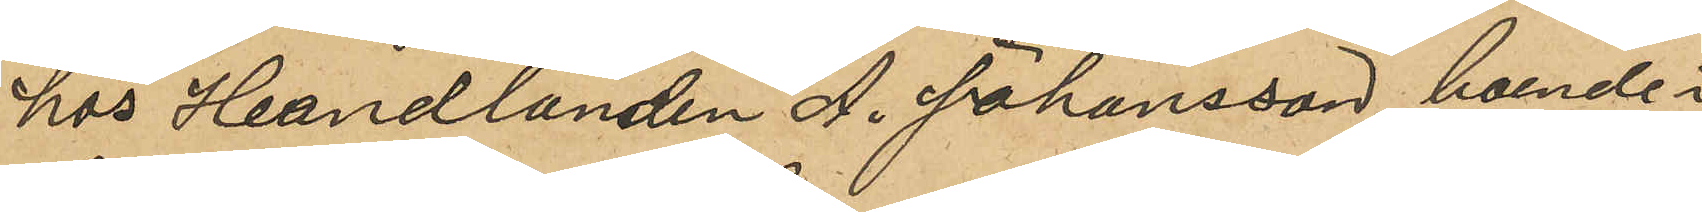hos Handlanden A. Johansson, boende i
